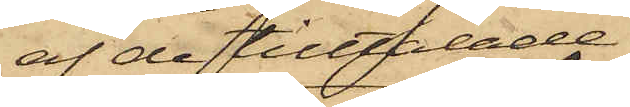af de tilltalade
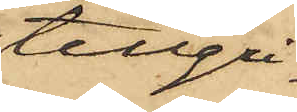tillgri¬
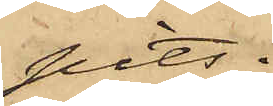pits.
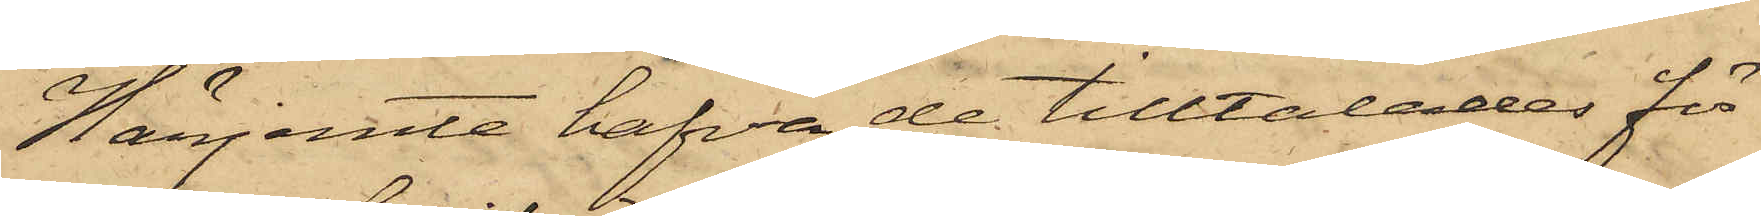Härjemte hafva de tilltalades för¬
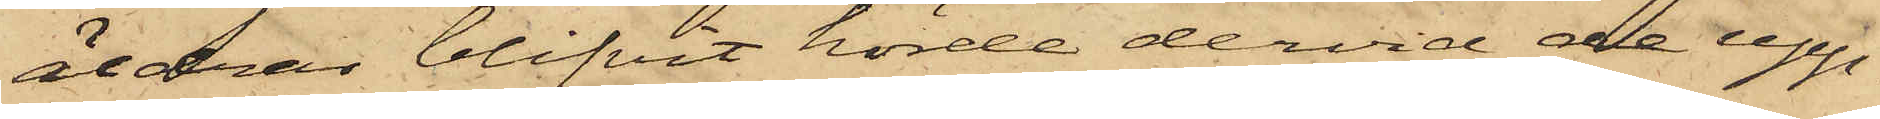äldrar blifvit hörde dervid de upp¬
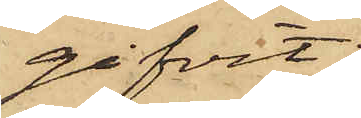gifvit:
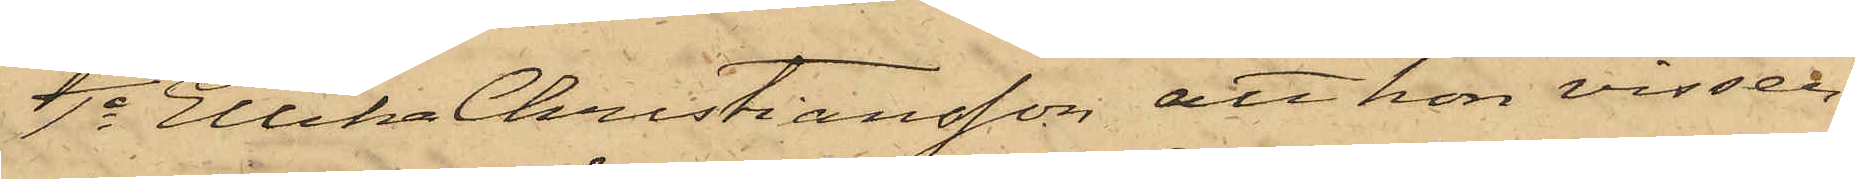1o Ellika Christiansson att hon visser¬
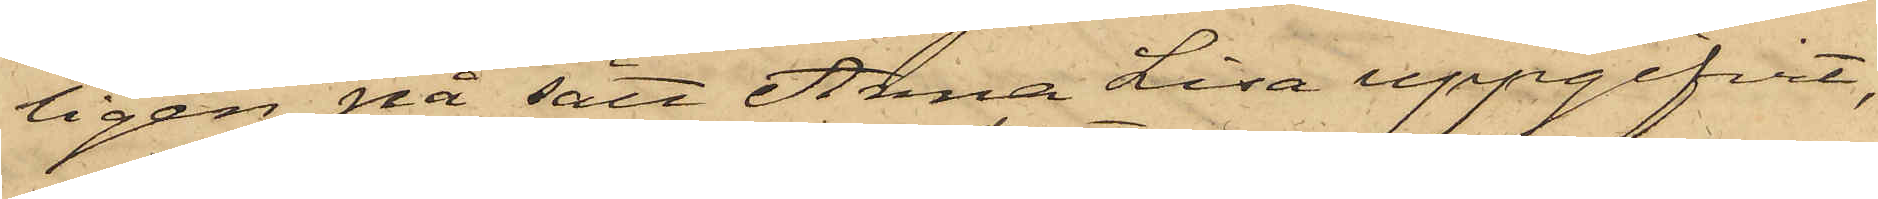ligen på sätt Anna Lisa uppgifvit,
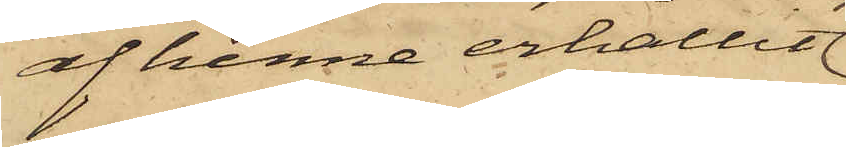af henne erhållit
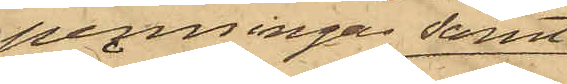penningar samt
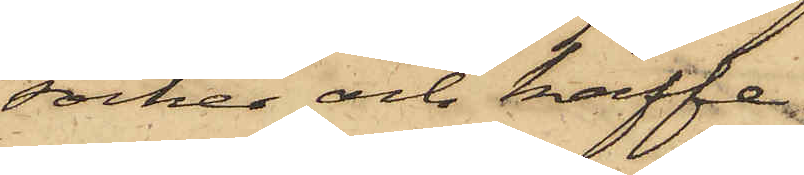socker och kaffe,
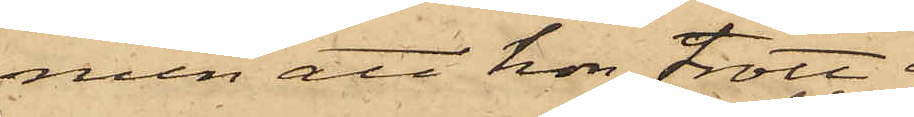men att hon trott
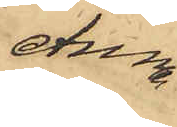Anna
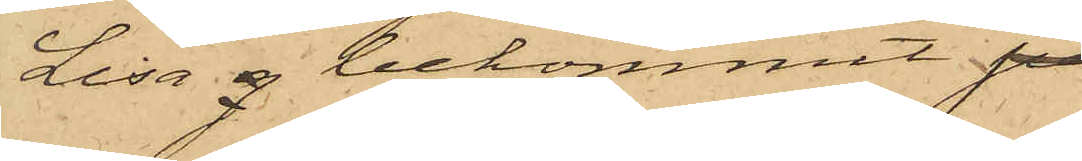Lisa g bekommit
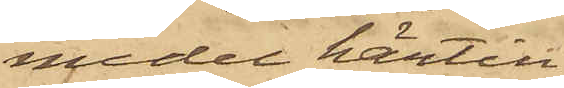medel härtill
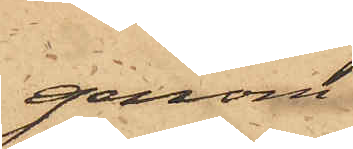genom
